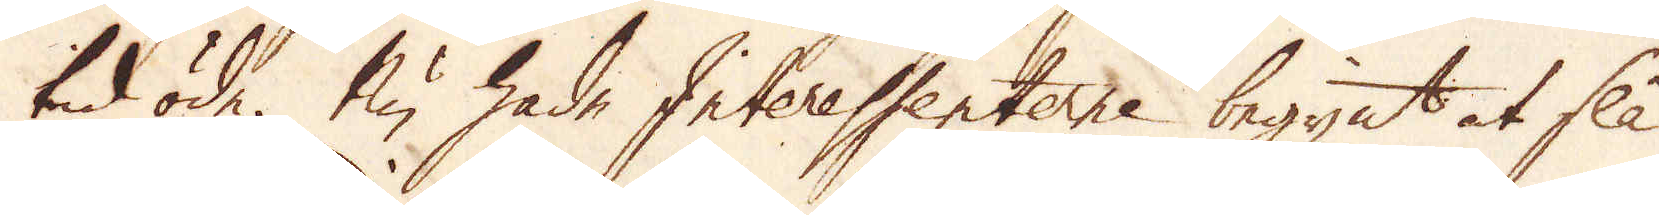tid öde. Nu hade Interessenterne begynt at slå
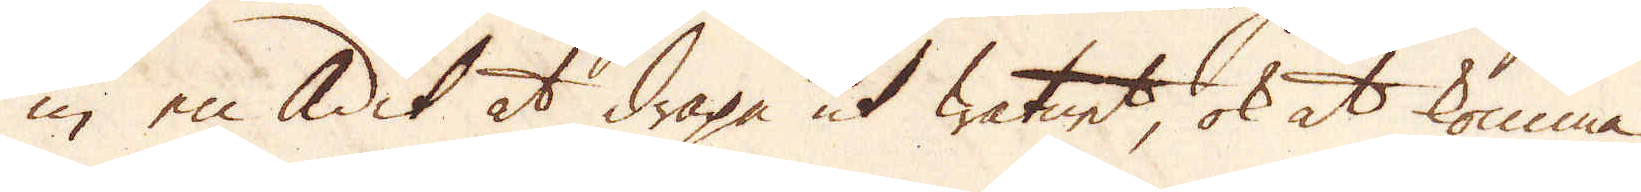in en Adit at draga ut watnet, ok at komma
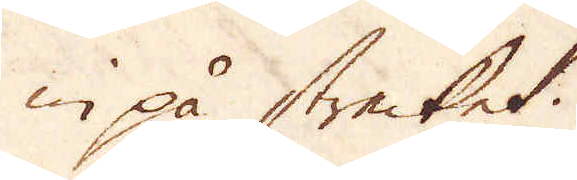in på strecket.
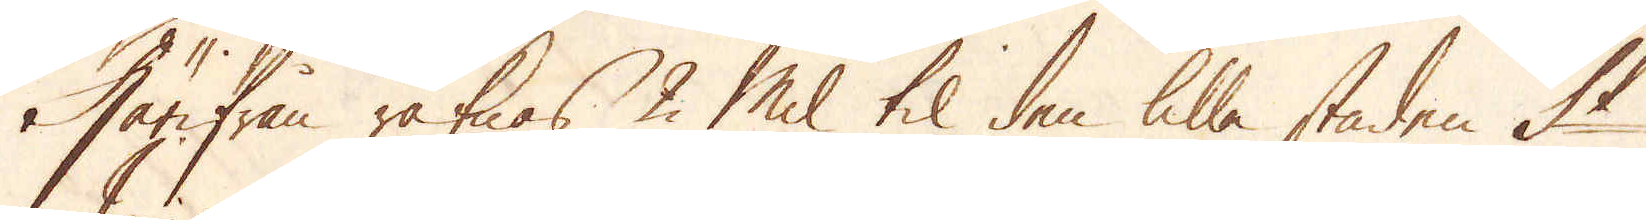Härifrån räknas 2 Mil til den lilla staden St
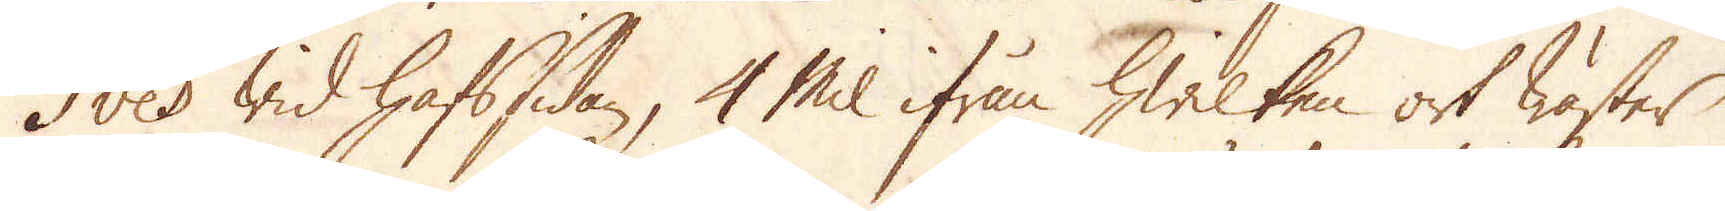Ives wid hafssidan, 4 Mil ifrån hwilken ort Wäster
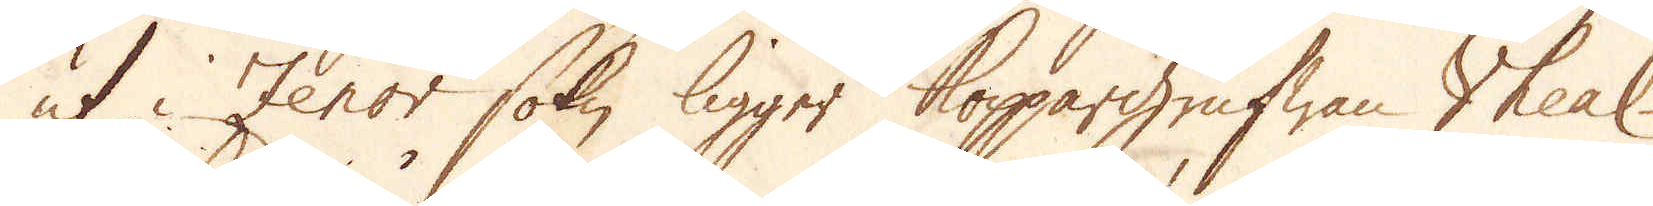ut i Zenor sokn ligger Koppargrufwan Vheal-
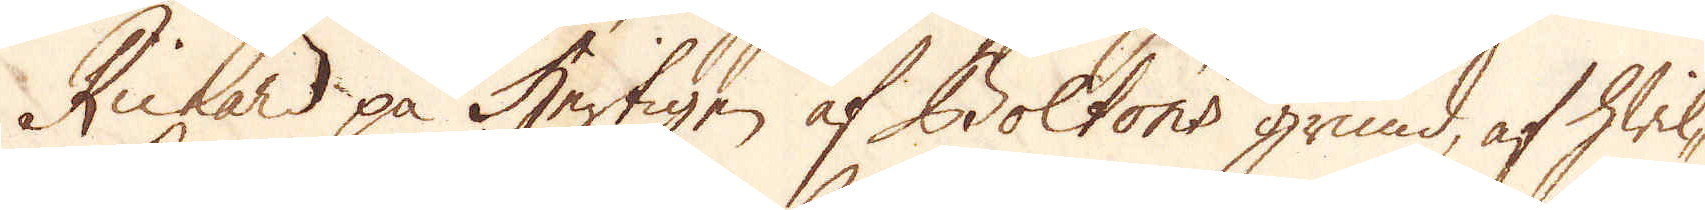Richard på Hertigen af Boltons grund, af hwil-
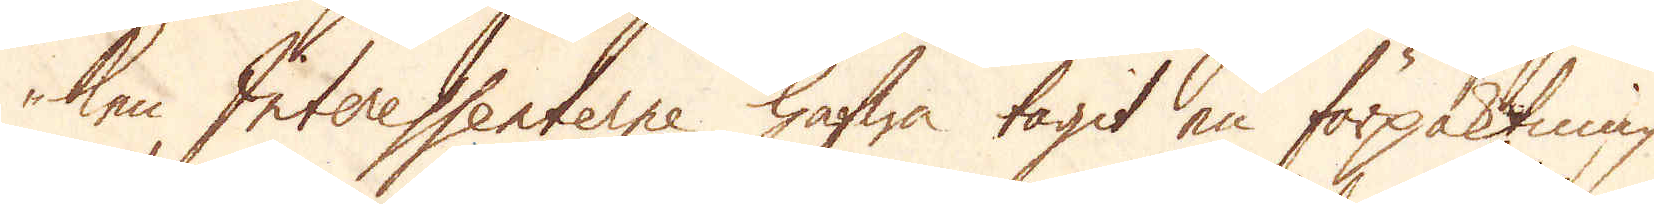ken Interessenterne hafwa tagit en förpaktning
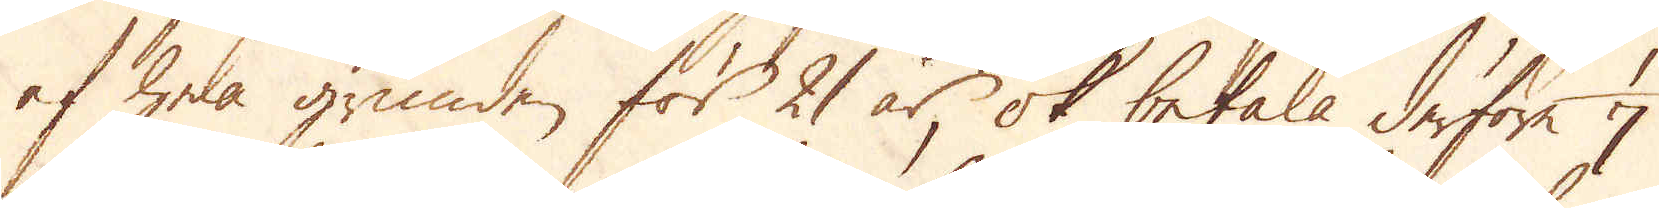af hela grunden för 21 år, ok betala derföre 1/7
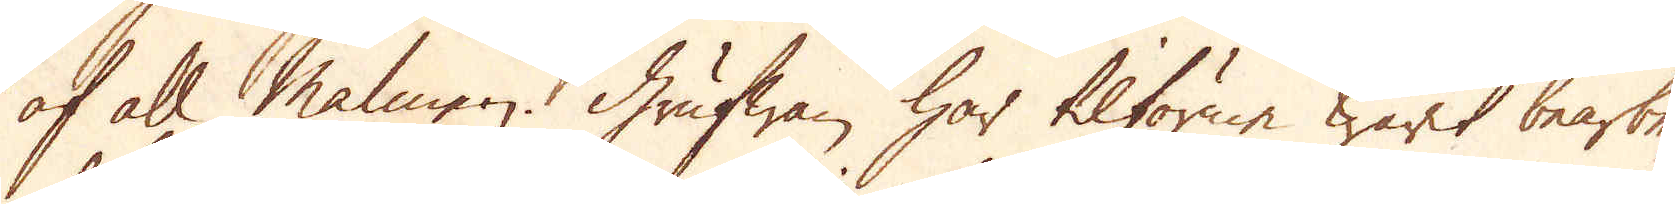af all malmen. Grufwan har tilförne warit bearbe-
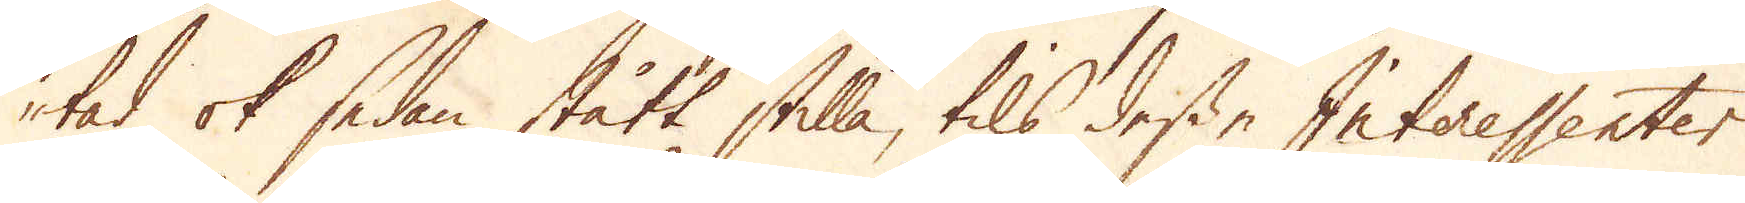tad ok sedan stått stilla, tils desse Interessenter
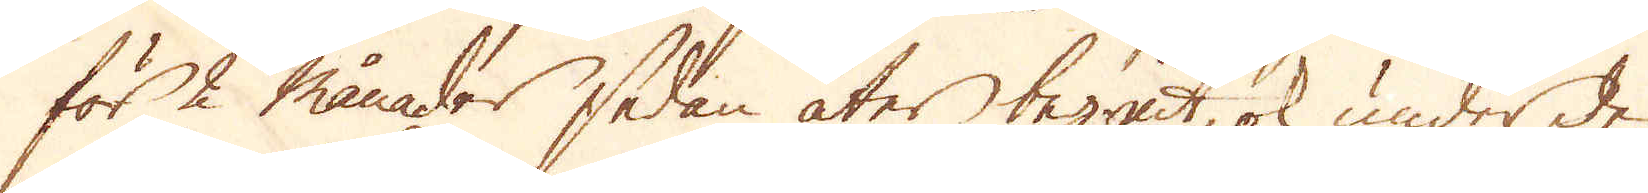för 2 månader sedan åter begrät, ok under den
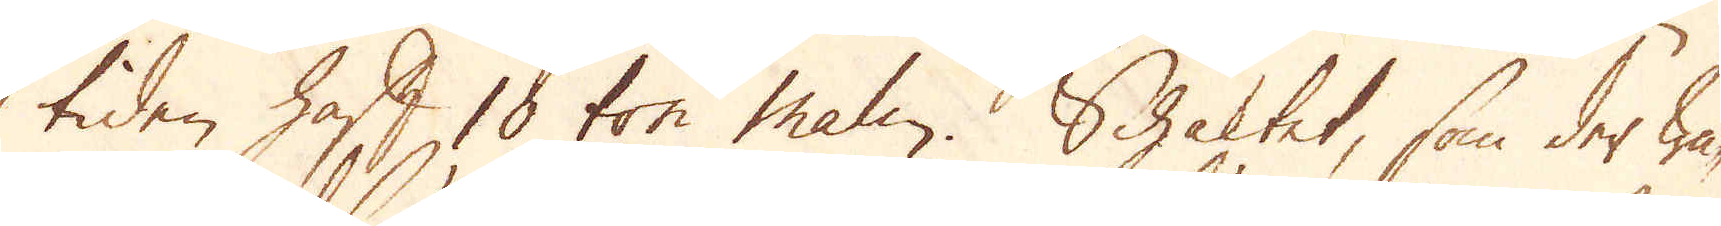tiden haft 10 ton malm. Schaktet, som der wa-
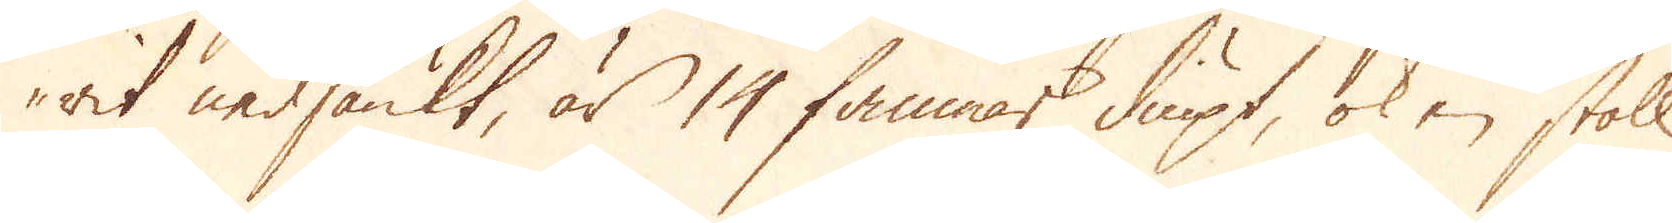rit nedsänkt, är 14 famnar diupt, ok en stoll
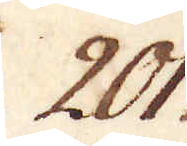201.
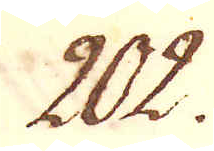202.
